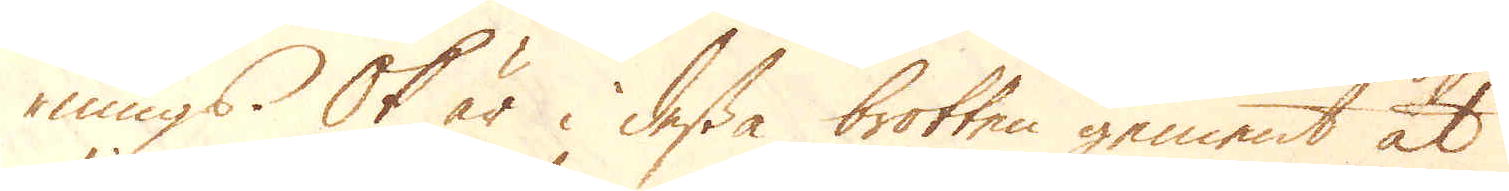nings. Ok är i dessa brotten gement at
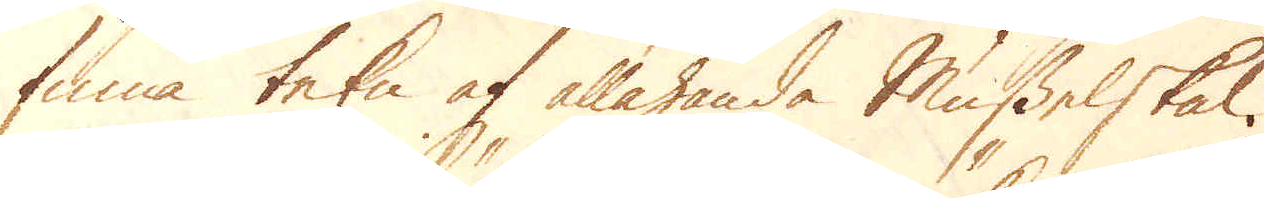finna tekn af allahanda Musselskal.
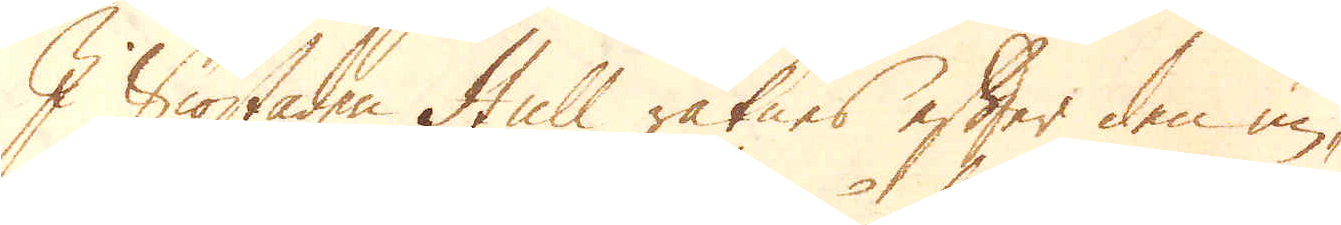I Siöstaden Hull räknes efter den un-
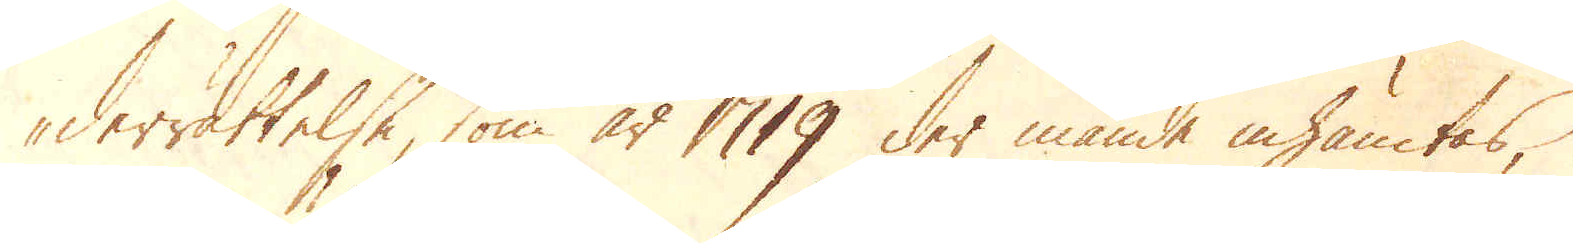derrättelse, som år 1719 der månde inhämtas,
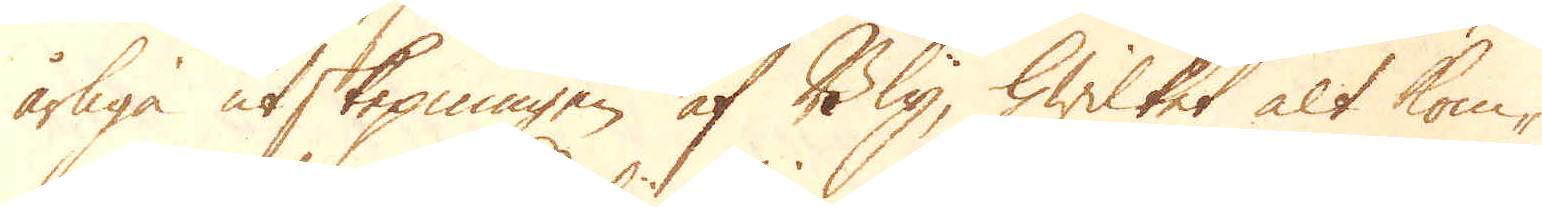årliga utskepningen af Bly, hwilket alt kom-
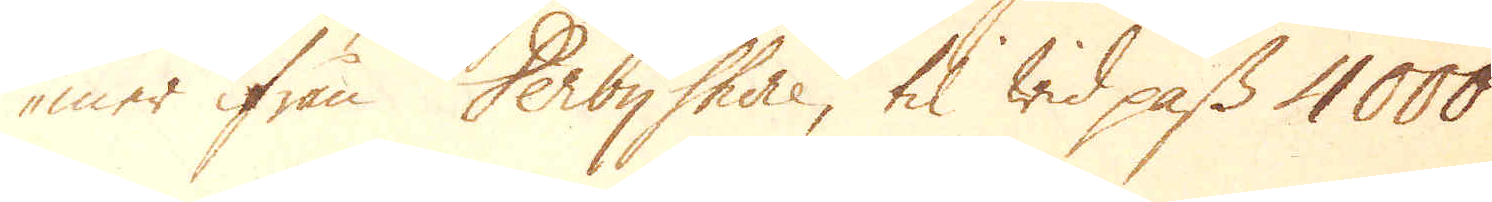mer ifrån Derbyshire, til wid pass 4000
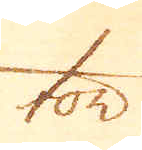ton
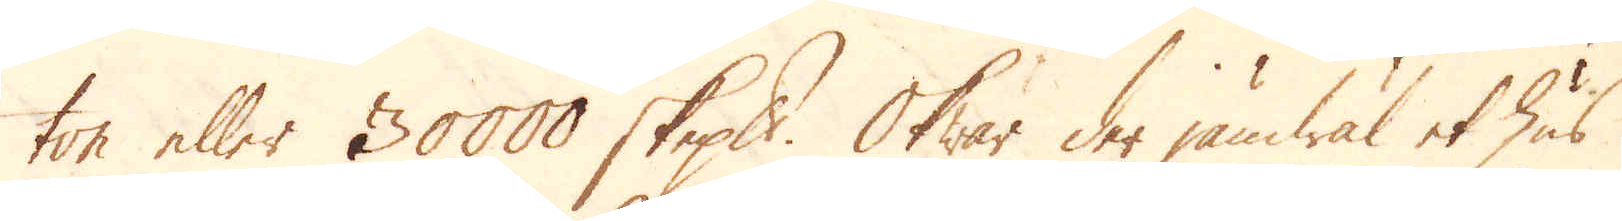ton eller 30000 skeppund. Ok war der jämwäl et hus
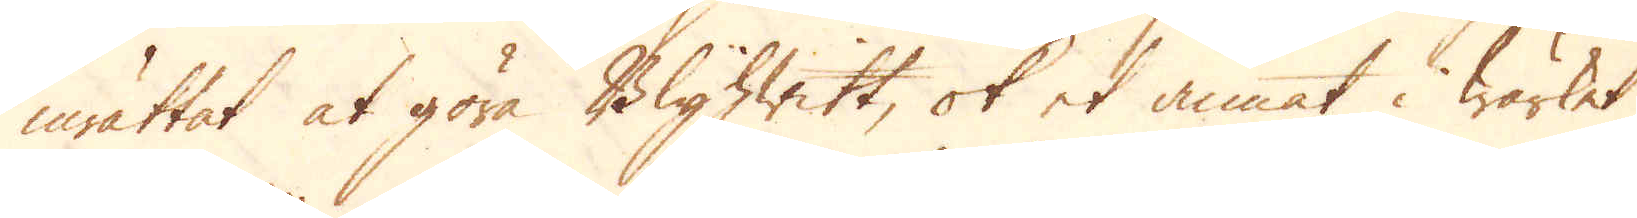inrättat at göra Blyhwitt, ok et annat i wärket
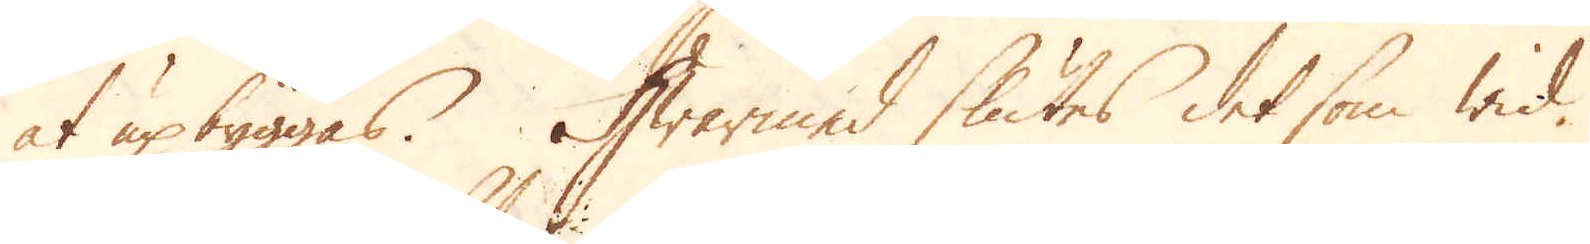at upbyggas. Hwarmed slutes det som wid
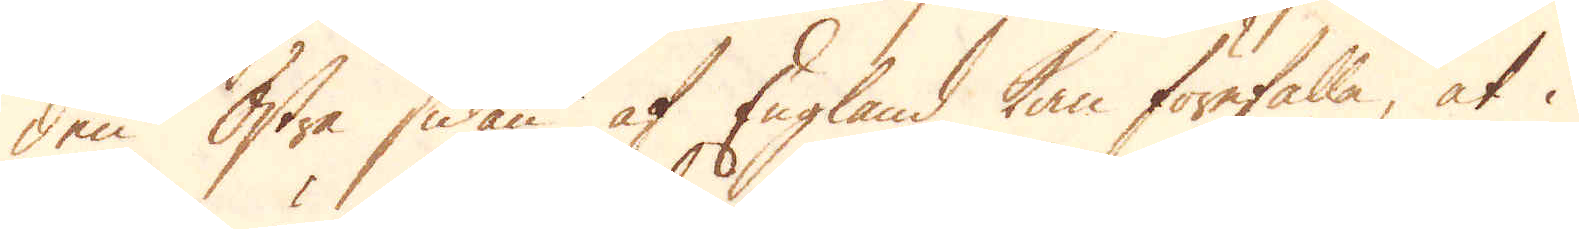den Östre sidan af England kan förefalla, at i
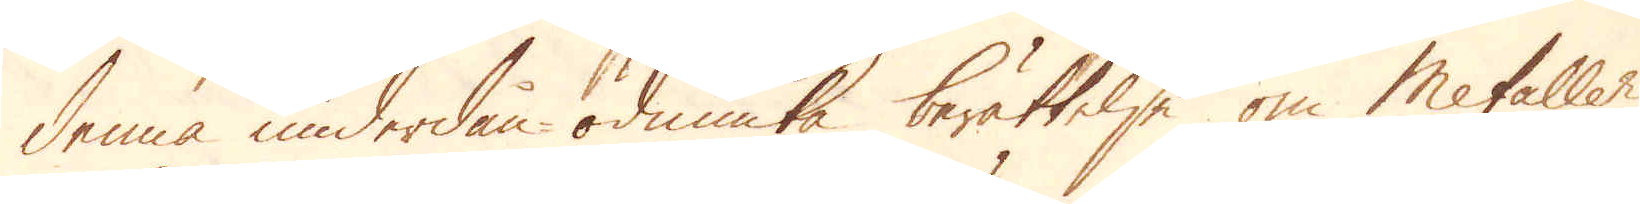denna underdån-ödmiuka berättelse om Metaller
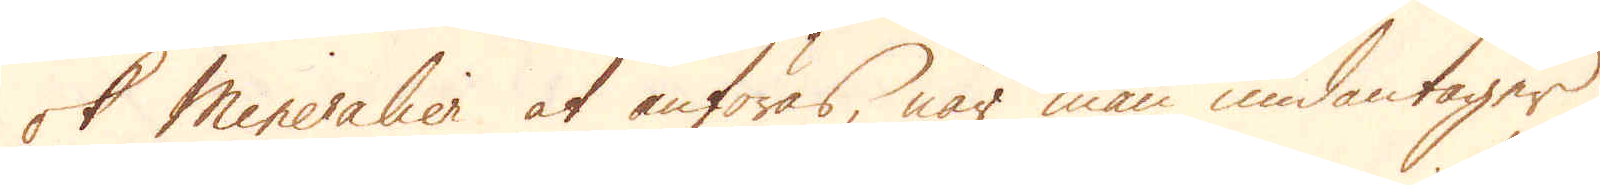ok Mineralier at anföras, när man undantager
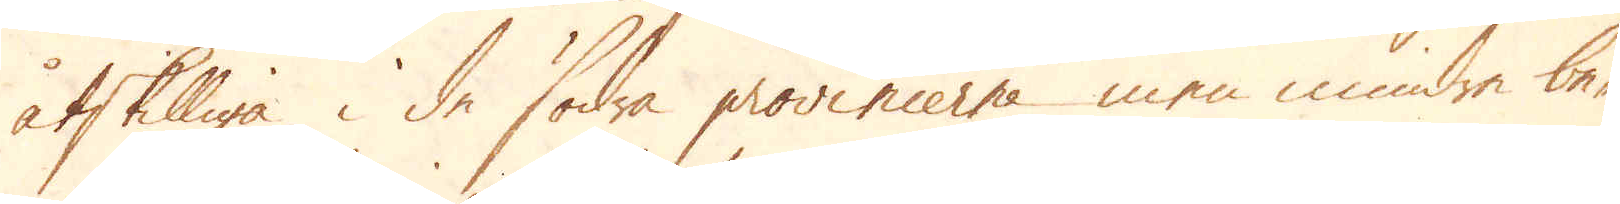åtskilliga i de södra provincerne men mindre be-
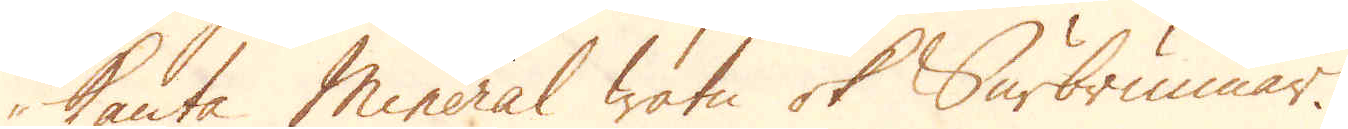kanta Mineral watn ok Surbrunnar.
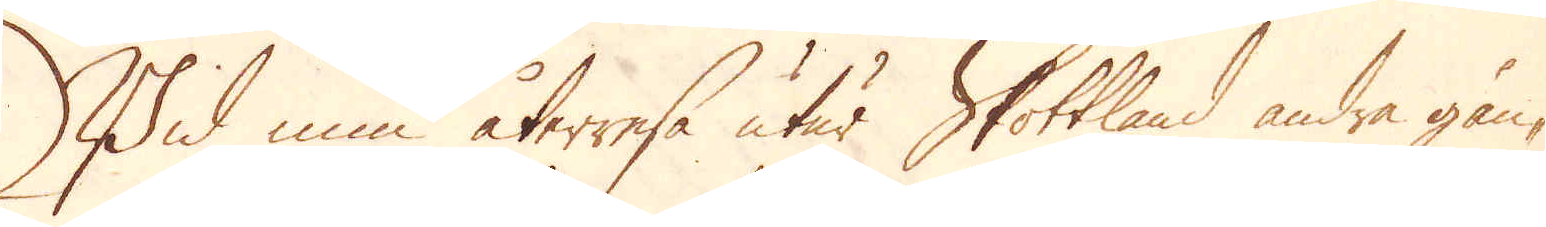Wid min återresa utur Skottland andra gån-
